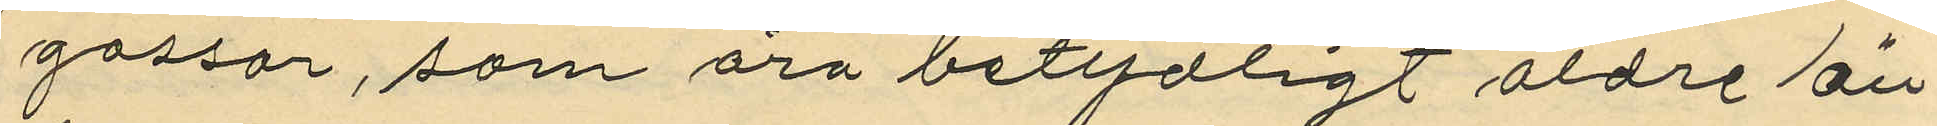gossar, som äro betydligt äldre än
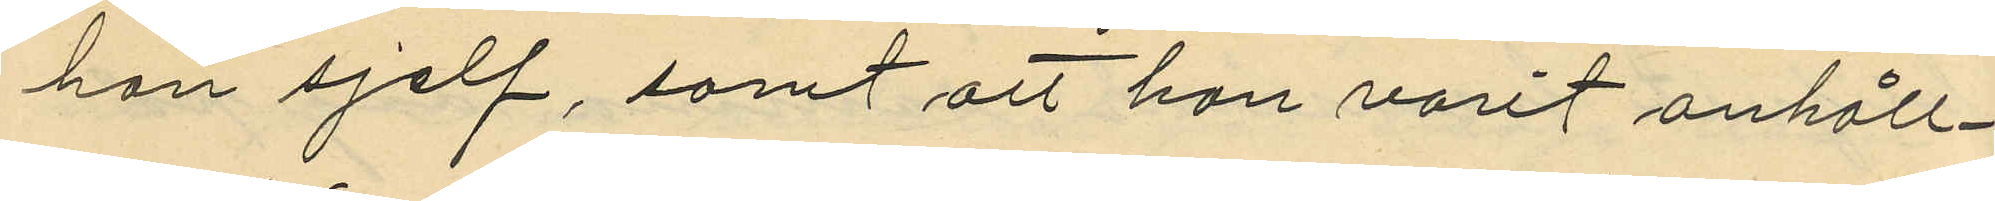han sjelf, samt att han varit anhåll¬
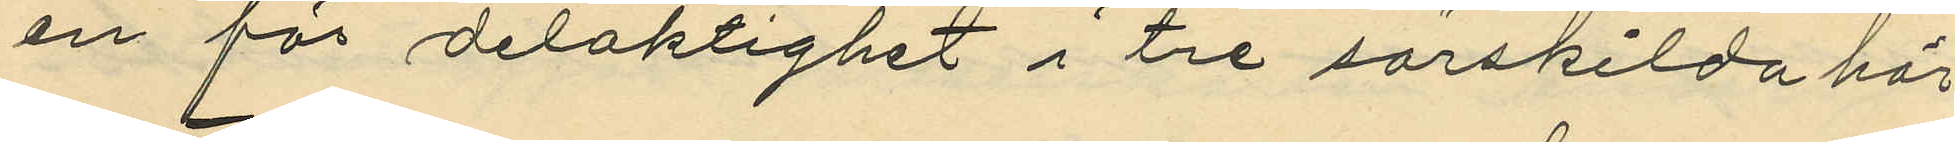en för delaktighet i tre särskilda här
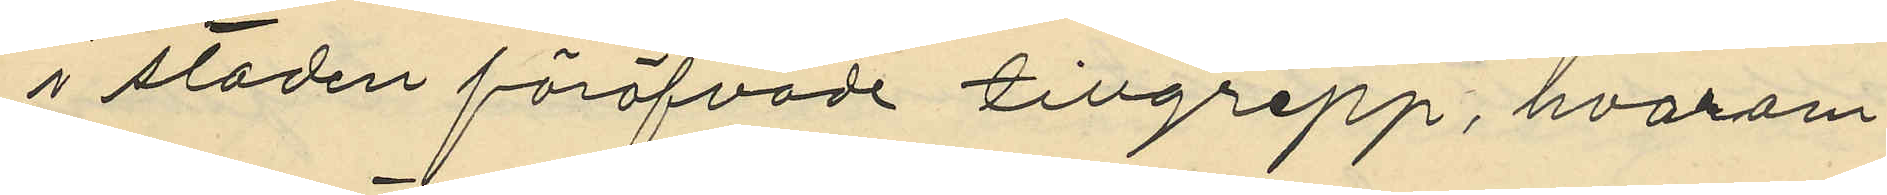i staden föröfvade tillgrepp, hvarom
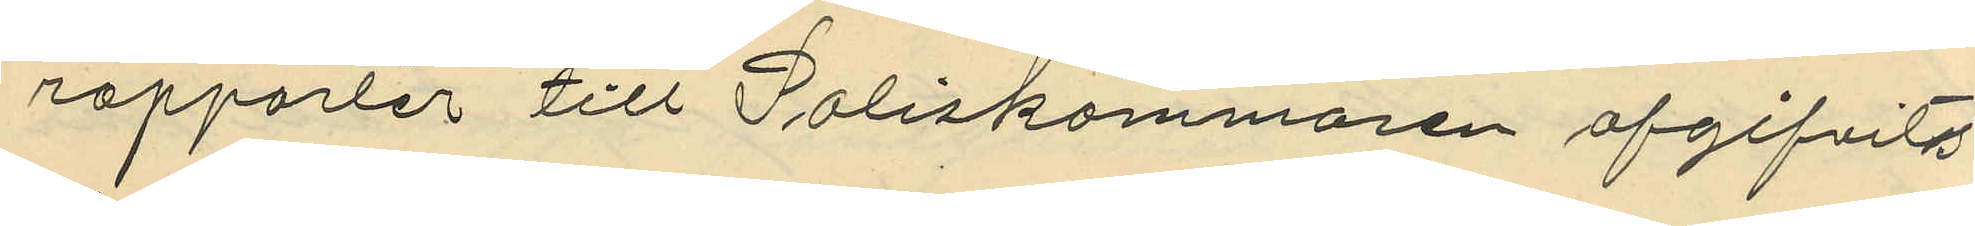rapporter till Poliskammaren afgifvits
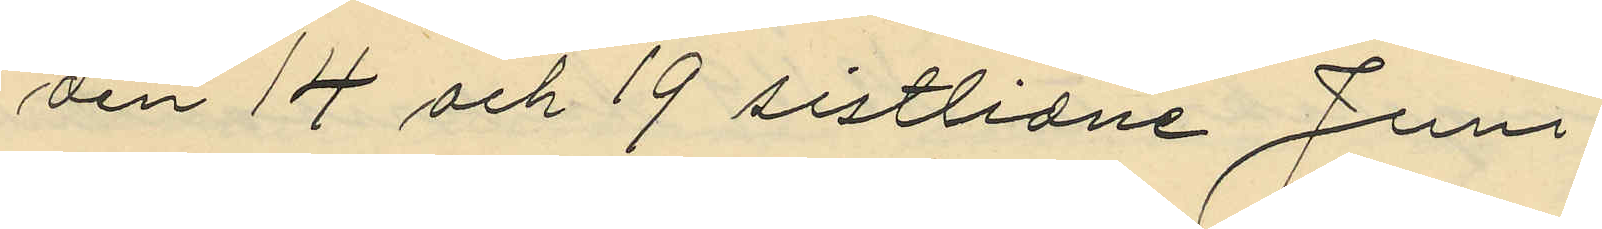den 14 och 19 sistlidne Juni.
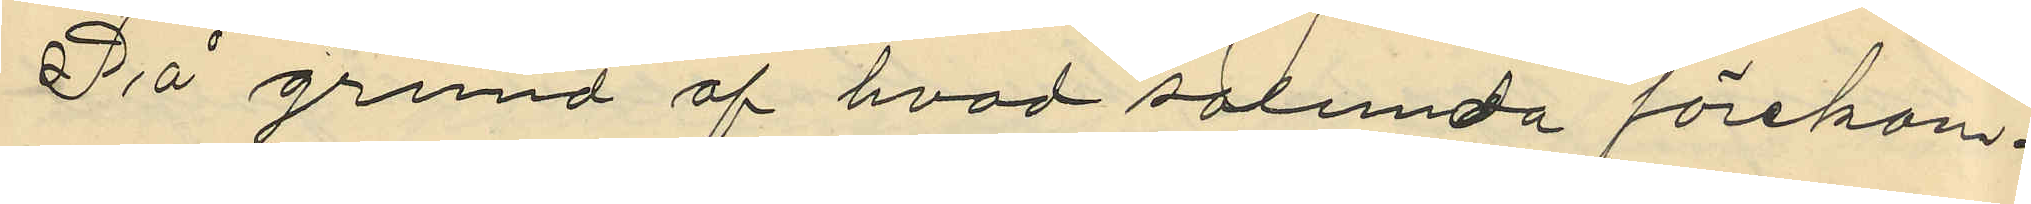På grund af hvad sålunda förekom¬
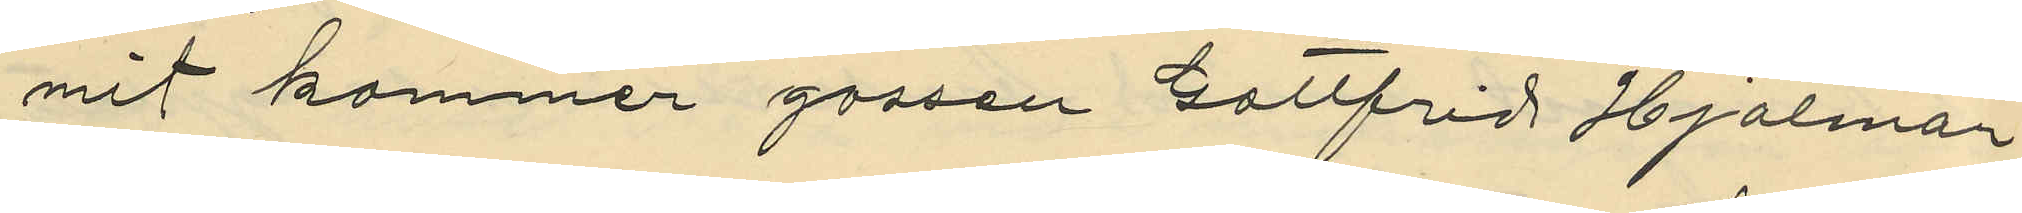mit kommer gossen Gottfrid Hjalmar
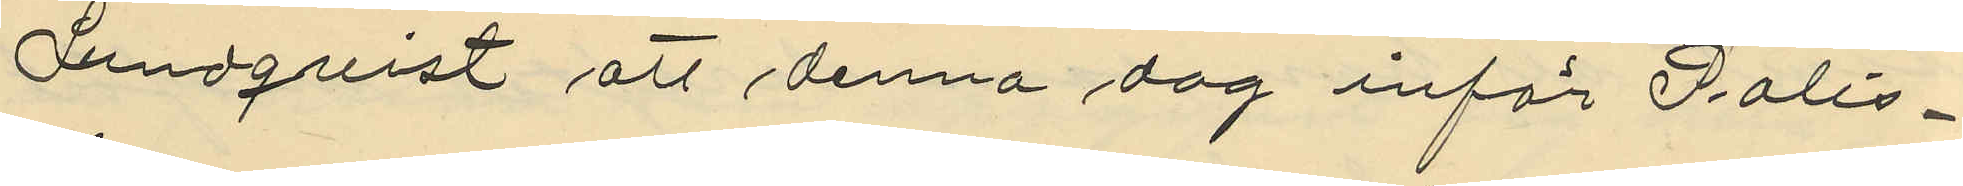Lundquist att denna dag inför Polis¬
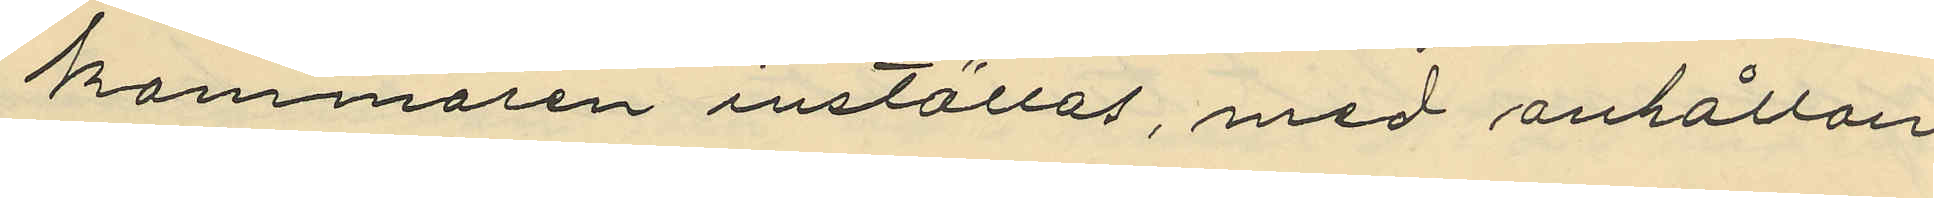kammaren inställas, med anhållan¬
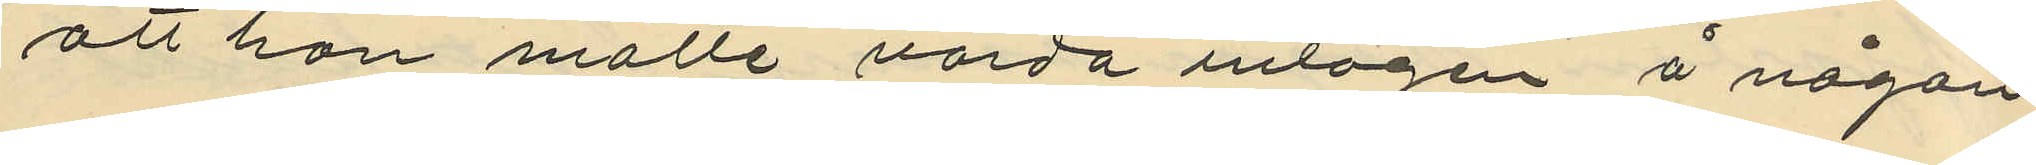att han måtte varda intagen å någon
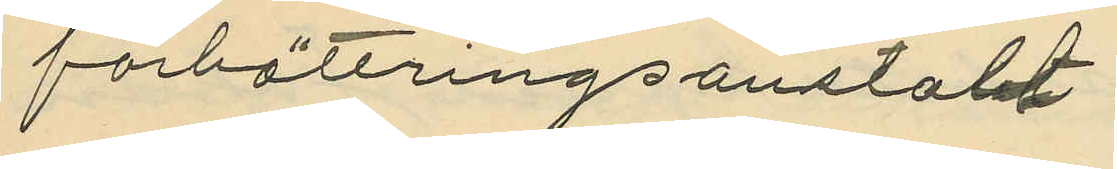förbättringsanstalt.
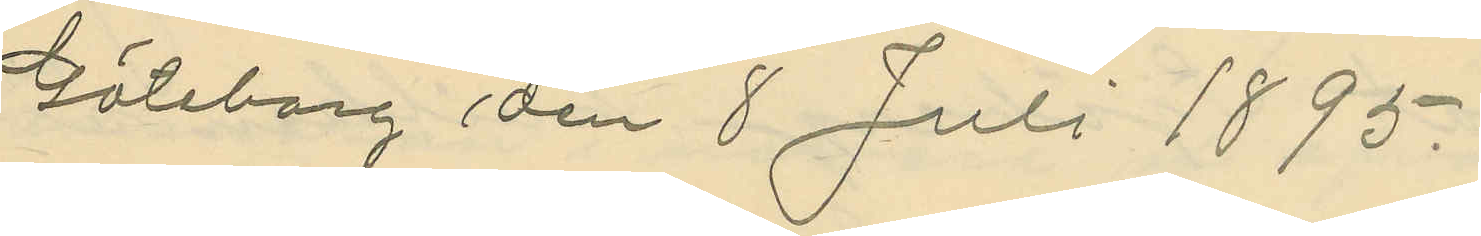Göteborg den 8 Juli 1895.
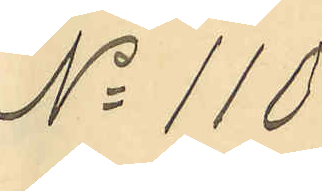No 110
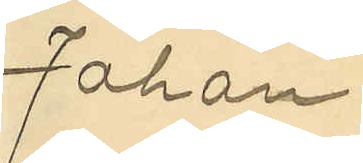Johan
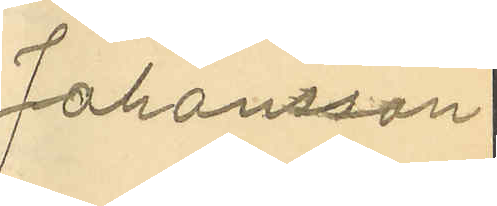Johansson
